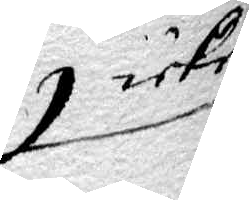icke
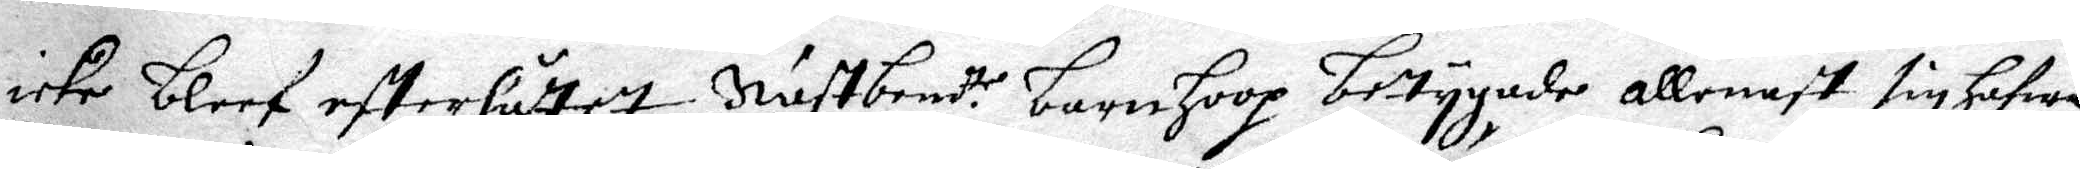icke bleef efterlåttet. Nästbem:te barnhoop betygade allenast sig hafwa
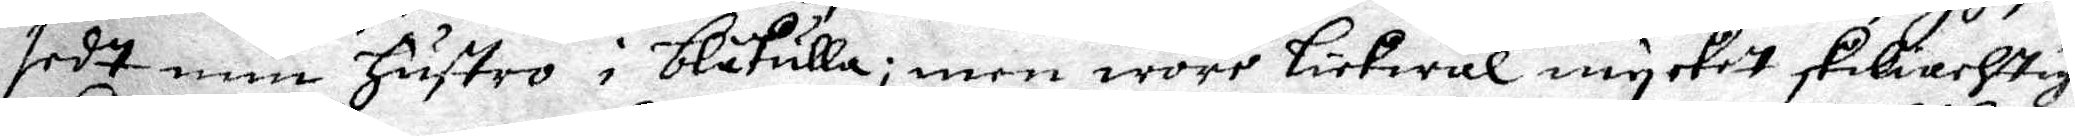sedt min hustro i blåkulla; men wore lickwäl mycket skiliachtige
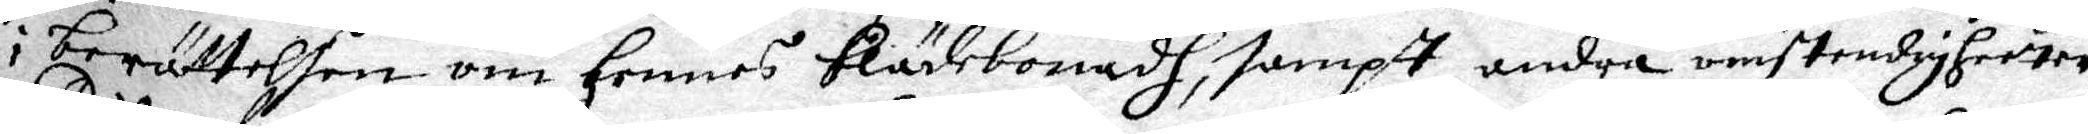i berättelsen om hennes Klädebonadh, sampt andra omstendigheeter.
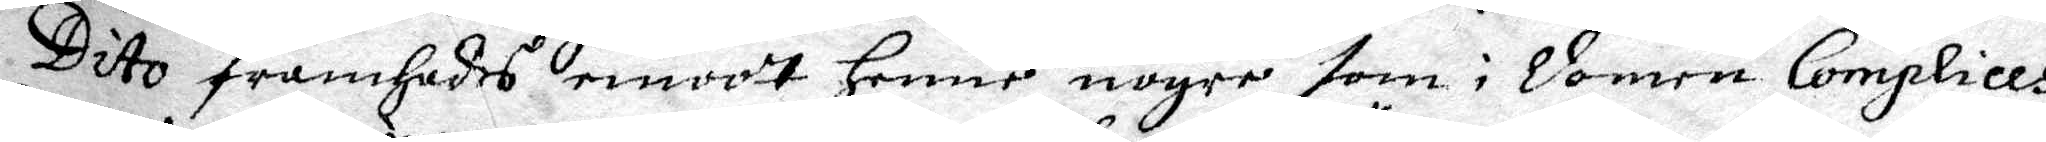Dito framhades emot henne nogre som i domen Complices
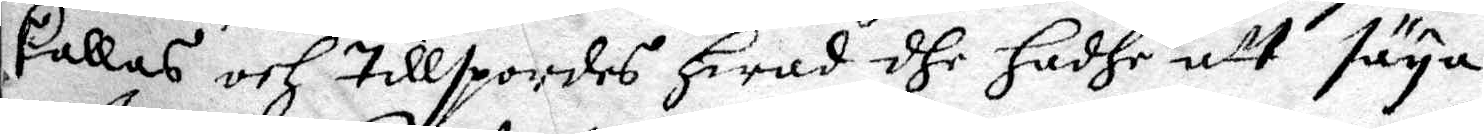kallas och tillspordes hwad dhe hadhe att säya.
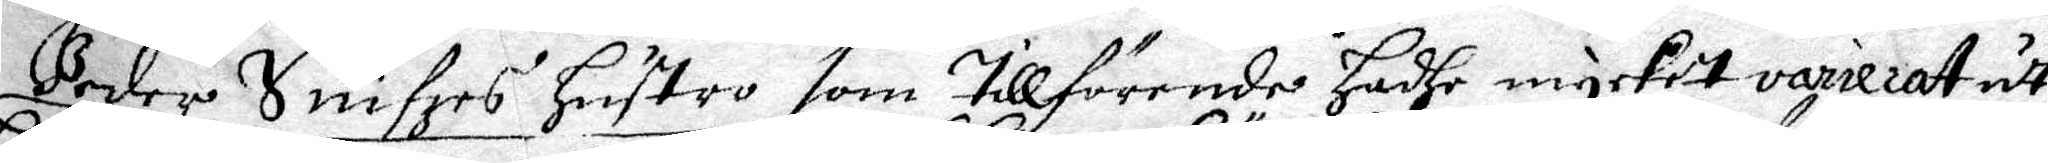Peder Snifzes hustro som tillförende hadhe mycket varierat uthi
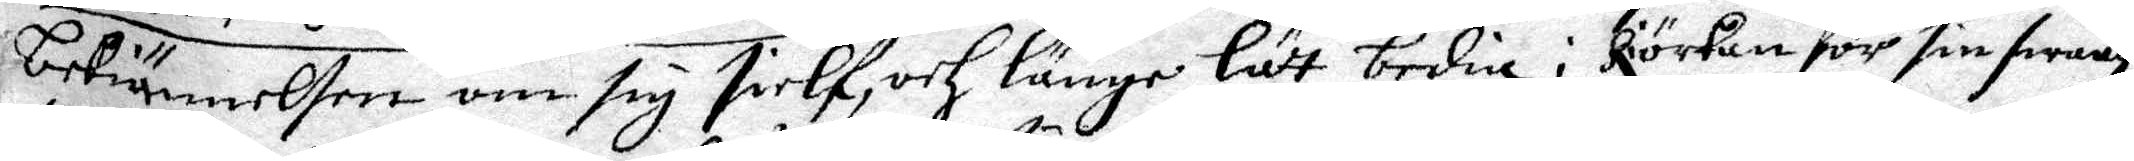bekiännelsen om sig sielf, och länge lät bedia i kiörkan för sin swag¬
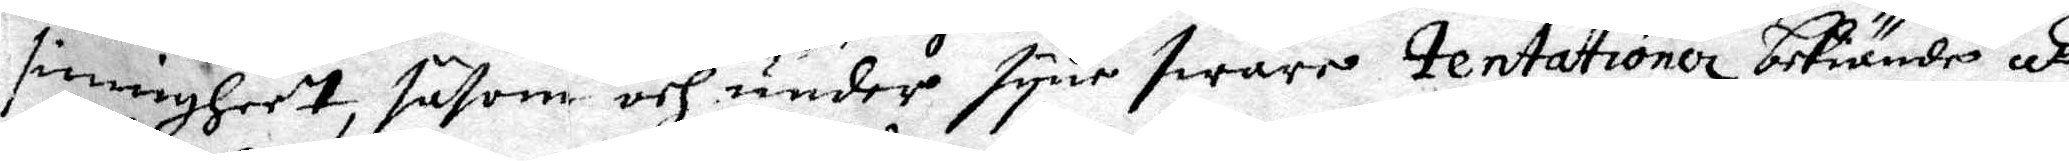sinnigheet, såsom och under syne swåre Tentationer bekiände, att
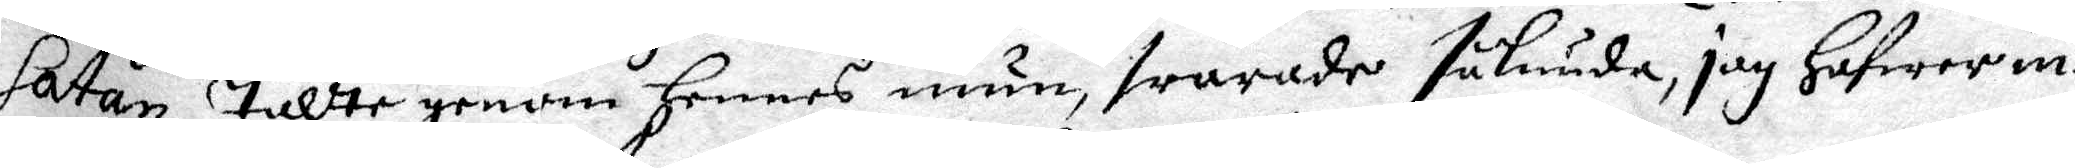Satan tallte genom hennes mun, swarade sålunda, jag hafwer in¬
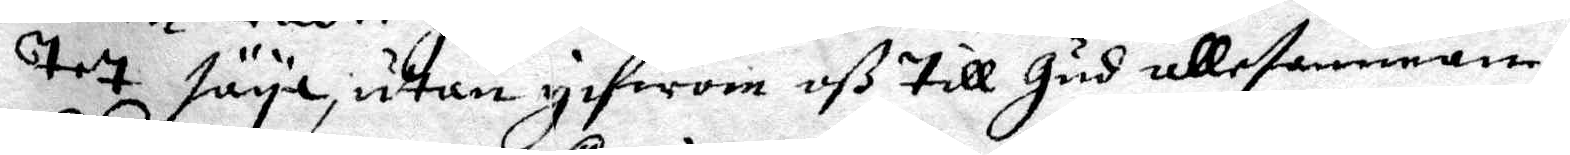tet säya, utan gifwom oß till Gud allesamman.
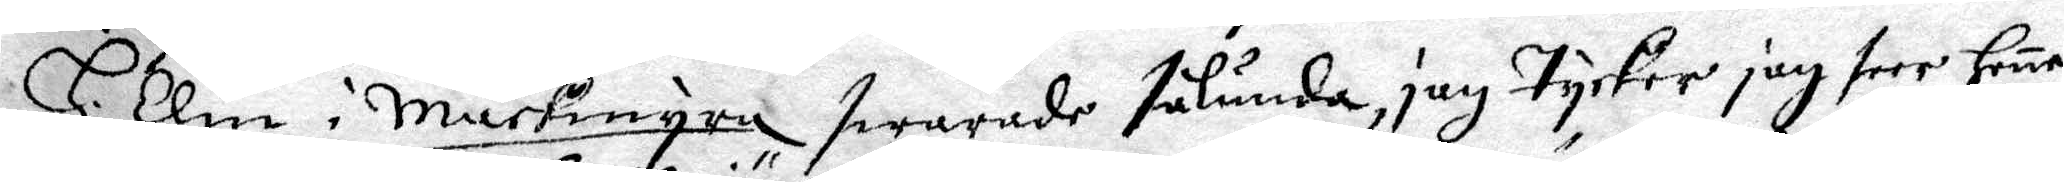H. Elin i Markingre swarade sålunda, jag tycker jag seer hene
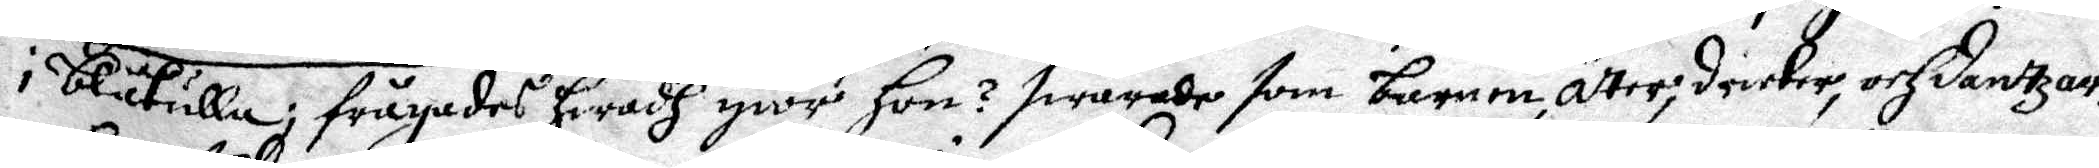i blåkulla, frågades hwadh giör hon? swarade som barnen, äter, dricker, och Dantzar.
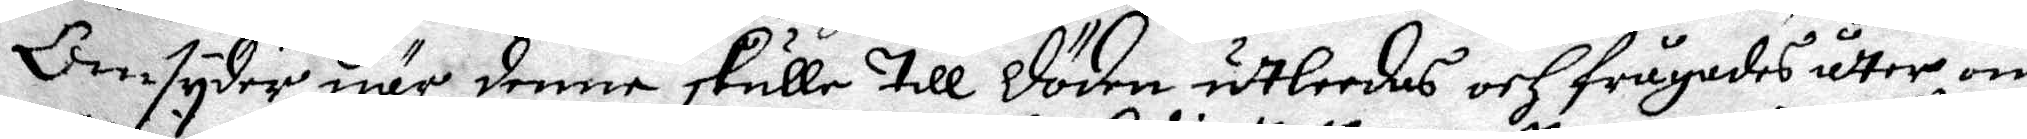Omtyder när denne skulle till döden utleedas och frågades åtter om
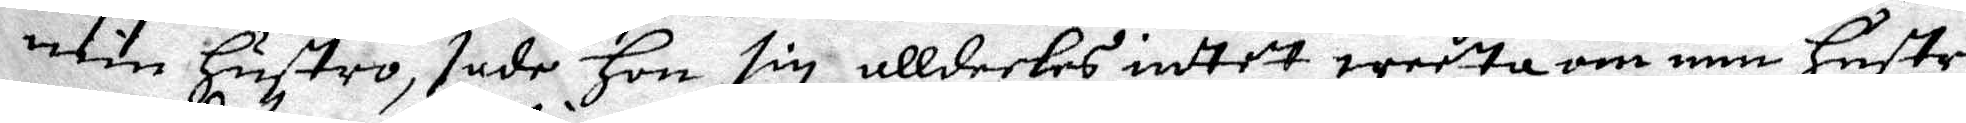min hustro, sade hon sig alldeeles intet weeta om min hustro
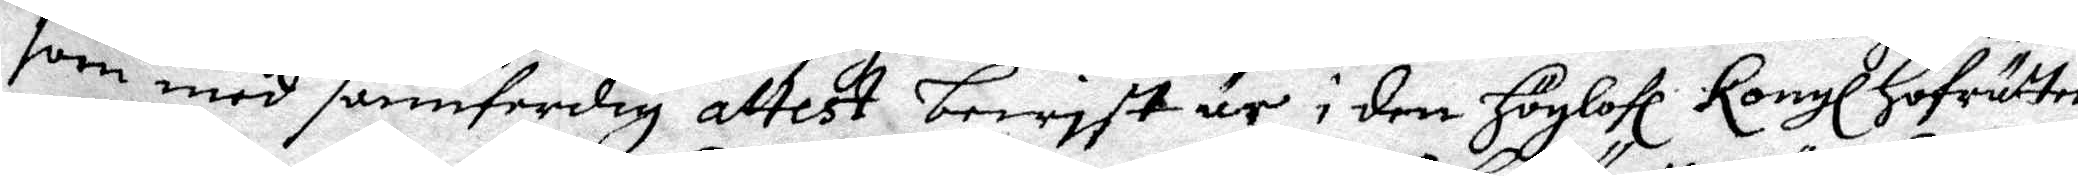som med sannferdig attest bewyst är i den Höglofl Kongl Hofrätten.
